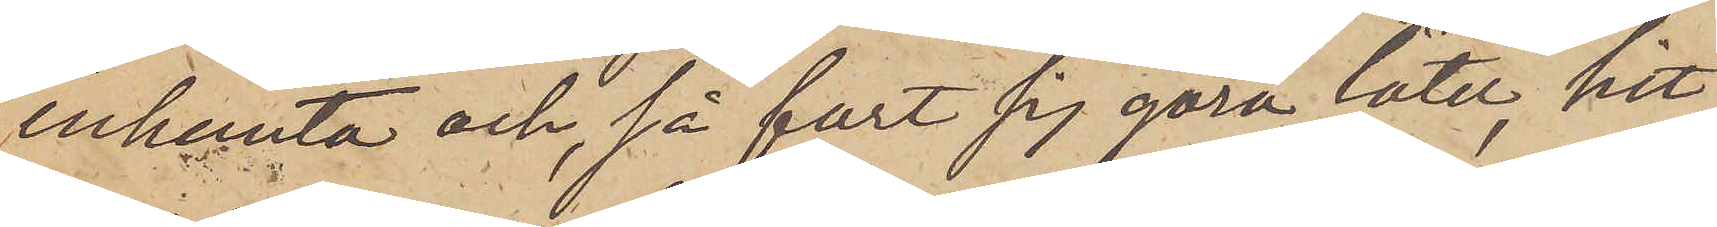inhemta och, så fort sig göra låter, hit
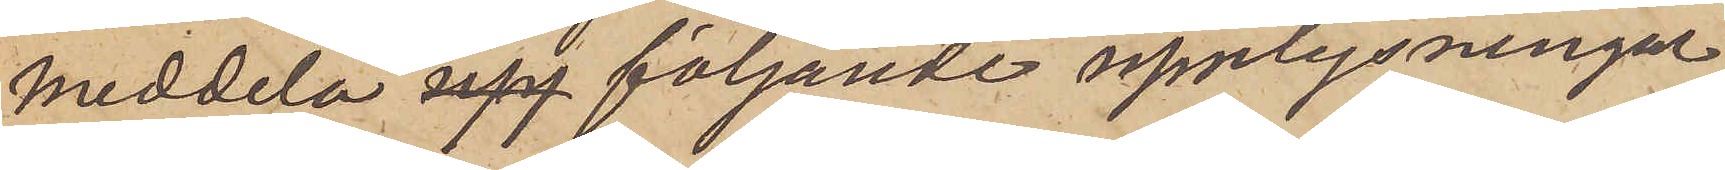meddela upp följande upplysningar,
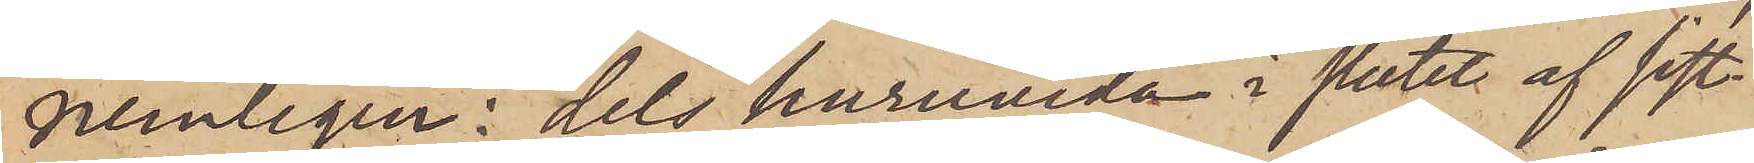nemligen: dels huruvida i slutet af sist¬
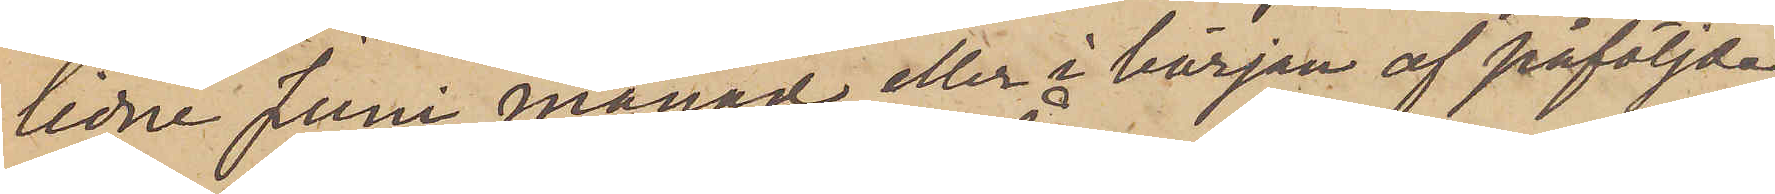lidne Juni månad eller i början af påföljde
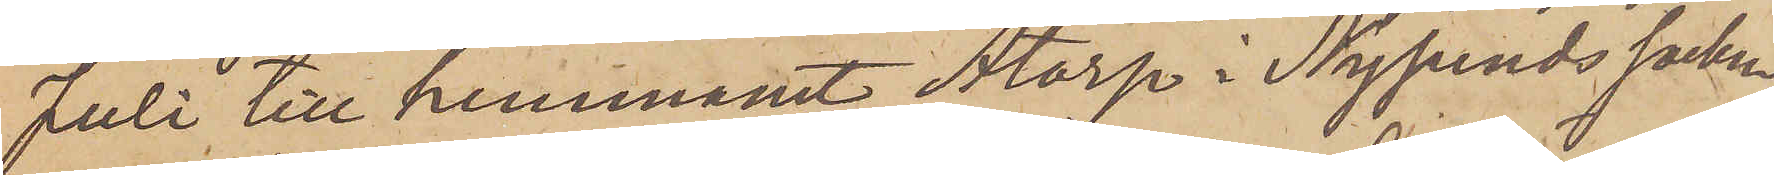Juli till hemmanet Åtorp i Nysunds socken
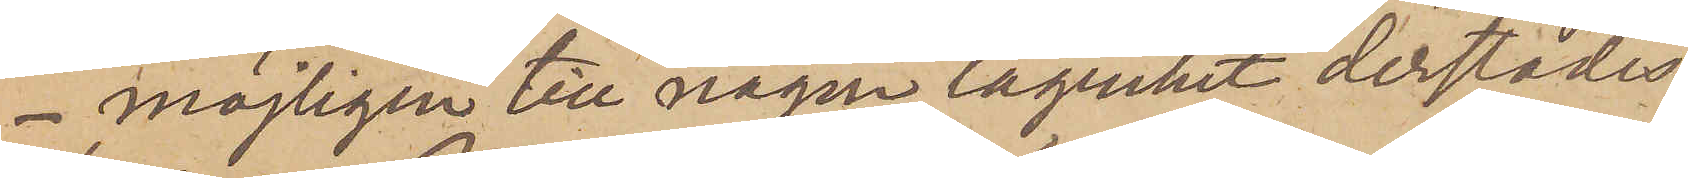- möjligen till någon lägenhet derstädes
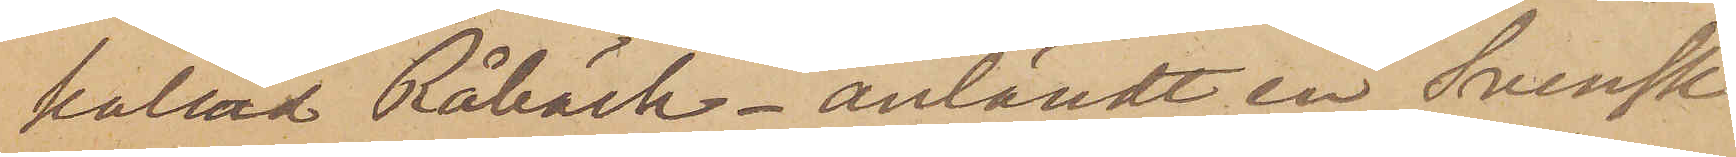kallad Råbäck - anländt en Svensk
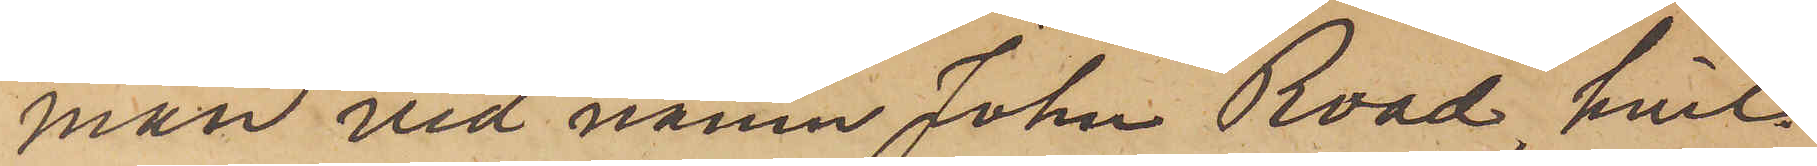man vid namn John Road, hvil¬
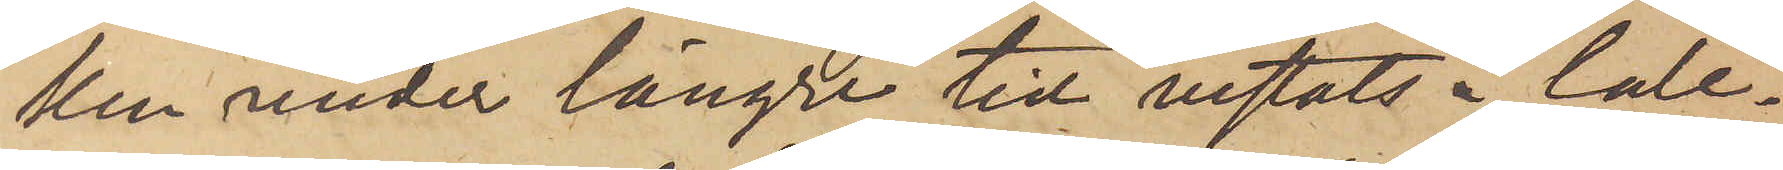ken under längre tid vistats i Cale¬
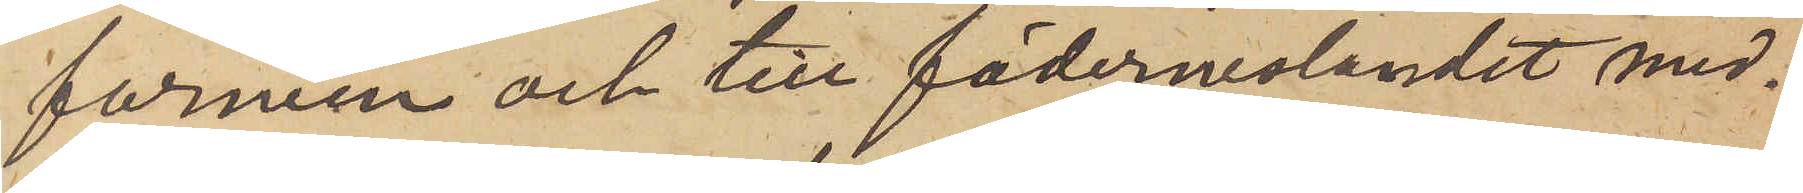fornien och till fäderneslandet med¬
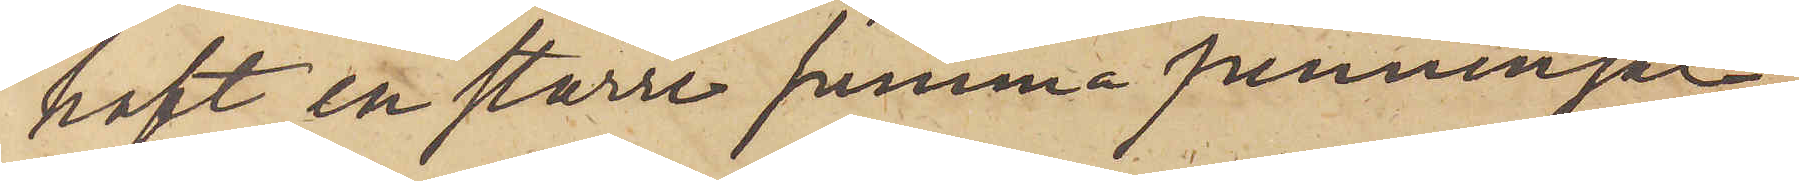haft en större summa penningar,
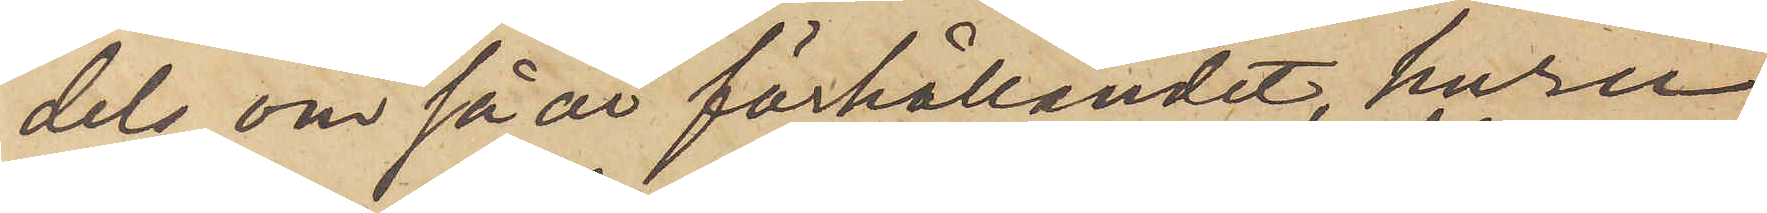dels, om så är förhållandet, huru
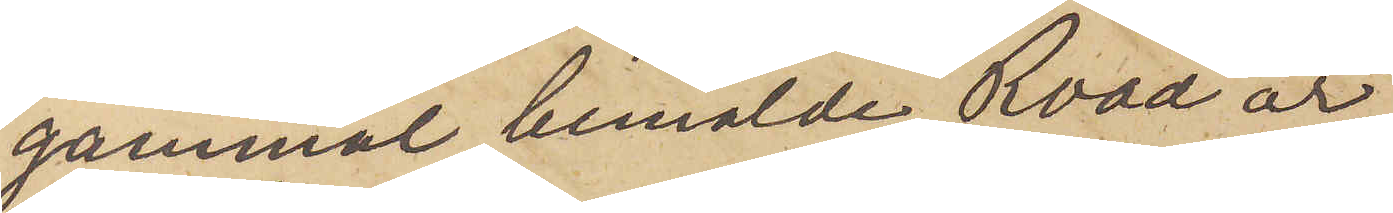gammal bemälde Road är,
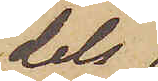dels
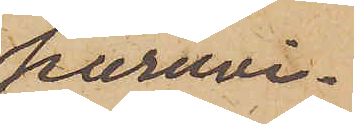huruvi¬
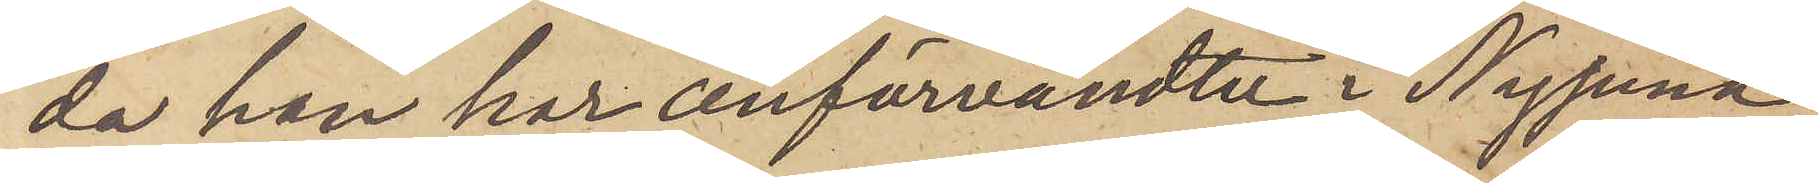da han har anförvandter i Nysund,
